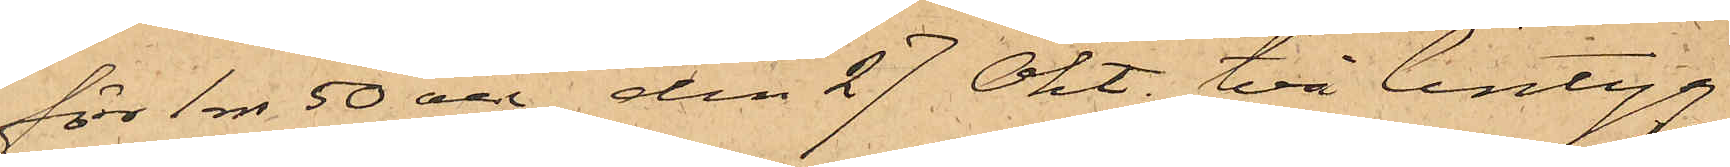för 1 rdr 50 öre, den 27 Okt. två lintyg
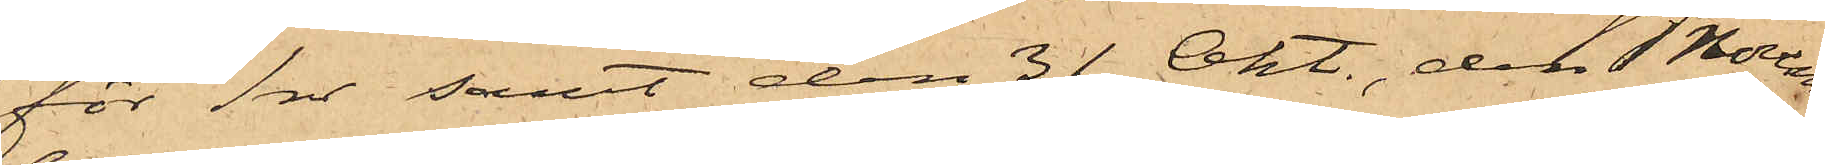för 1 rdr samt den 31 Okt, den 1 Novem¬
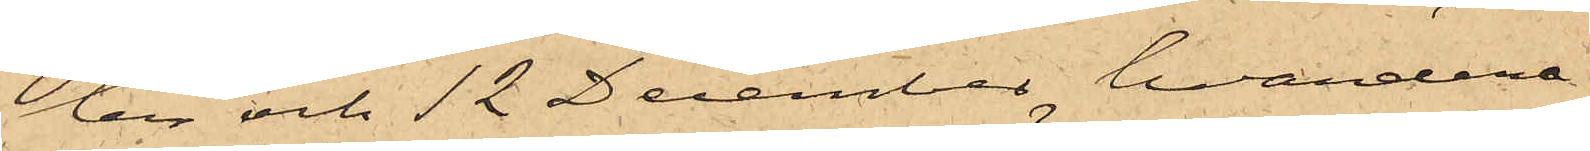ber och 12 December, hvardera
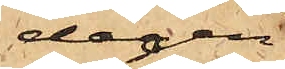dagen
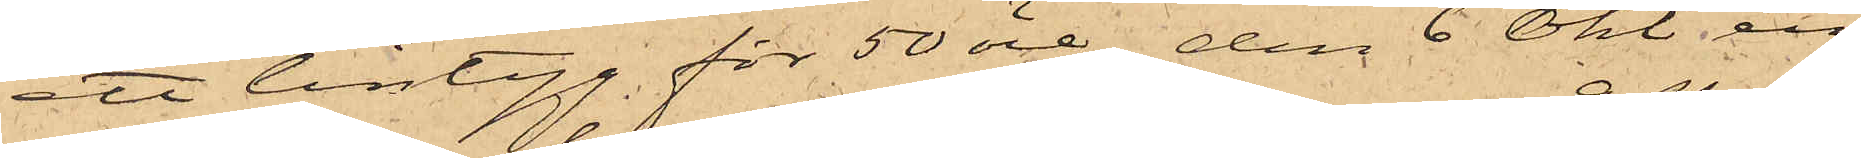ett lintyg för 50 öre, den 6 Okt en
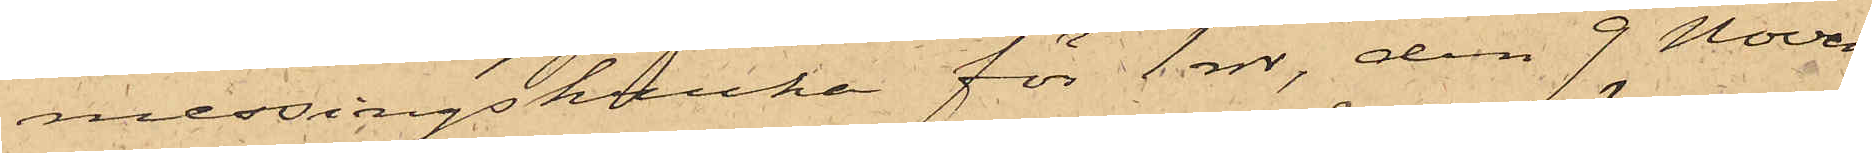messingskruka för 1 rdr, den 9 Novem¬
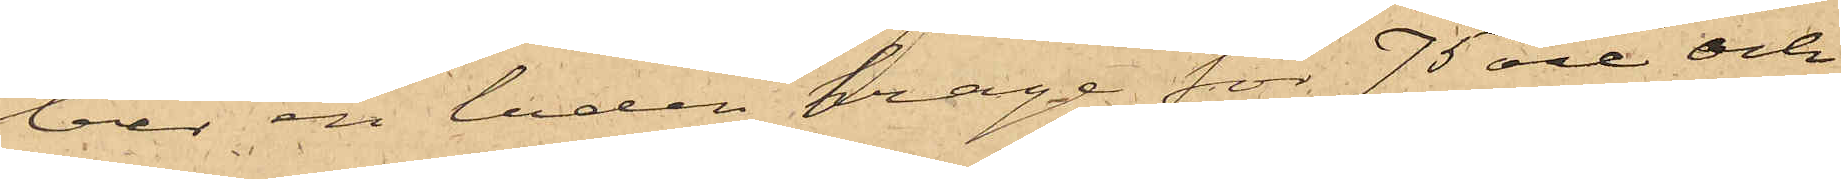ber en luden krage för 75 öre och
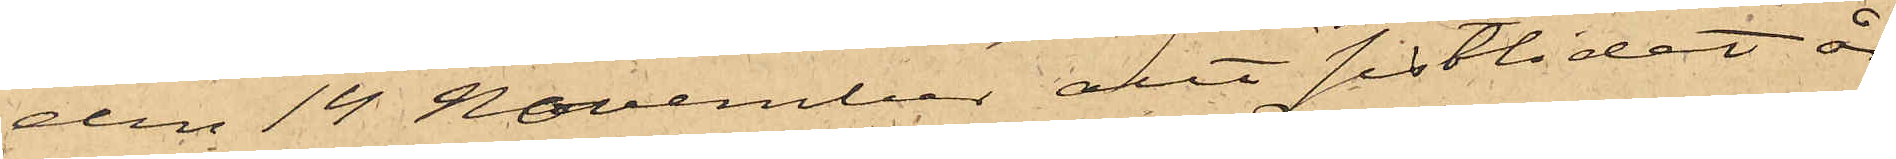den 14 November allt sistlidet år
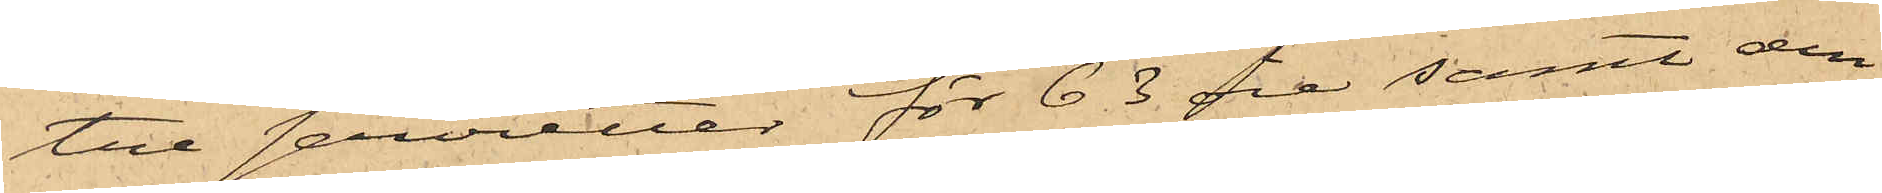tre servietter för 63 öre samt den
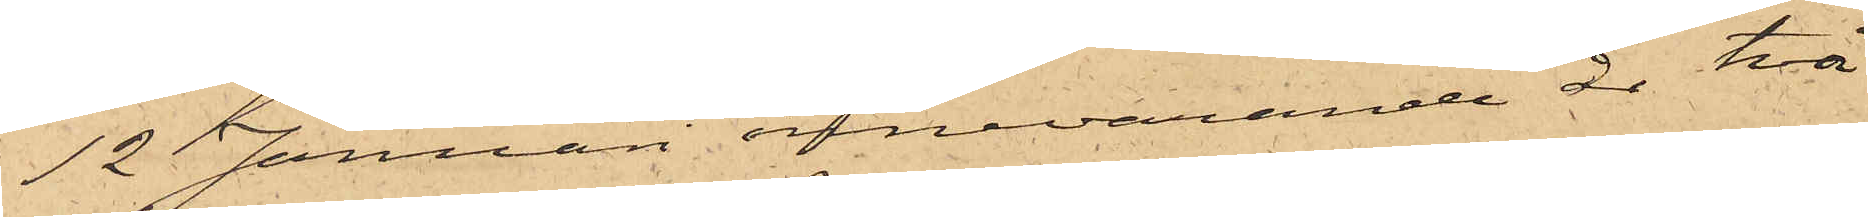12 Januari innevarande år två
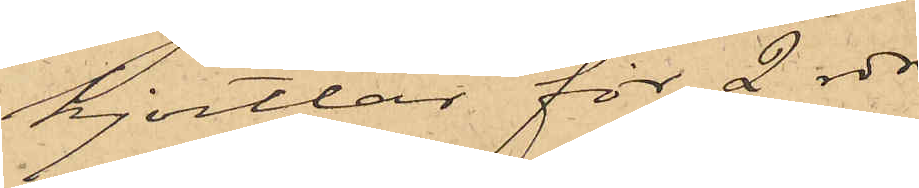kjortlar för 2 rdr.
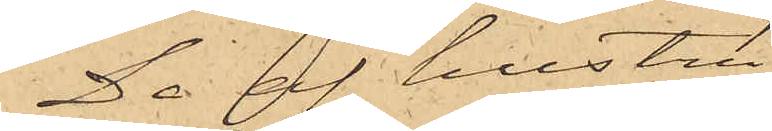De af hustru
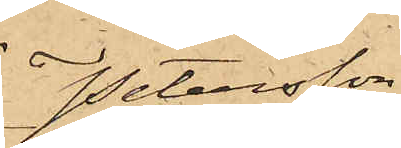Petersson
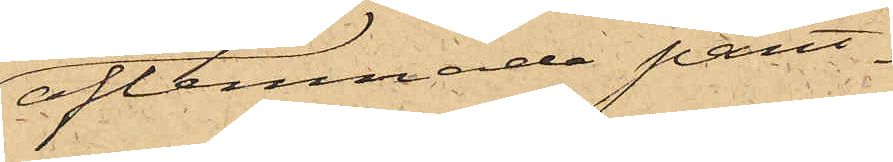aflemnade pant¬
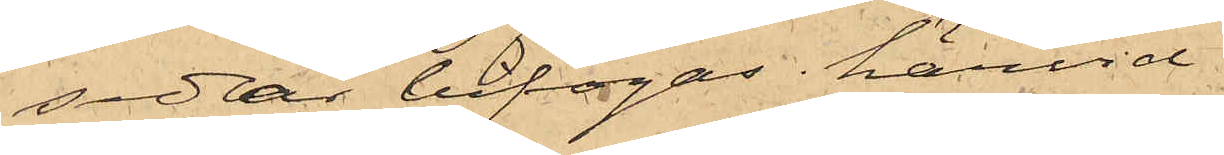sedlar bifogas härvid.
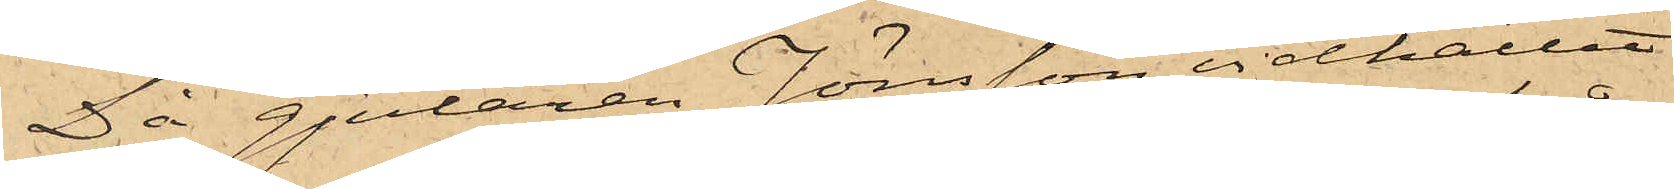Då gjutaren Jönsson vidhållit
